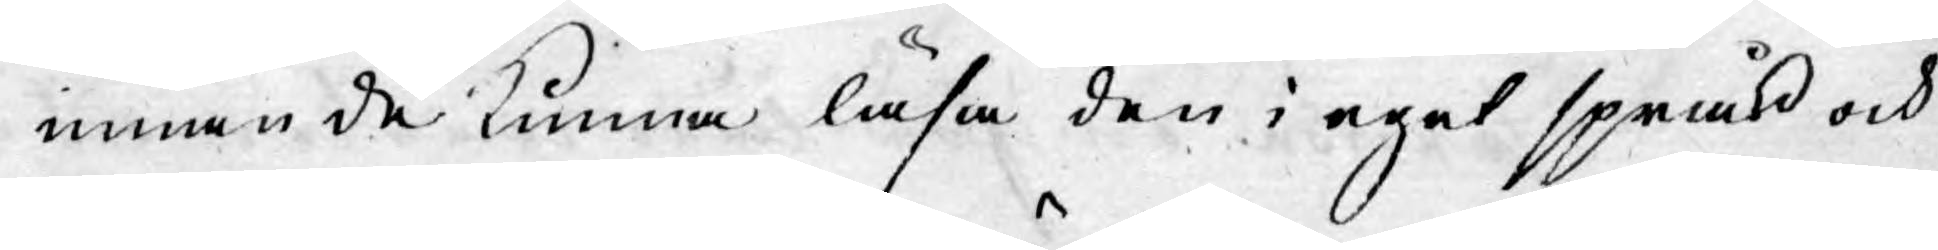innan de kunna läsa den i eget språk och
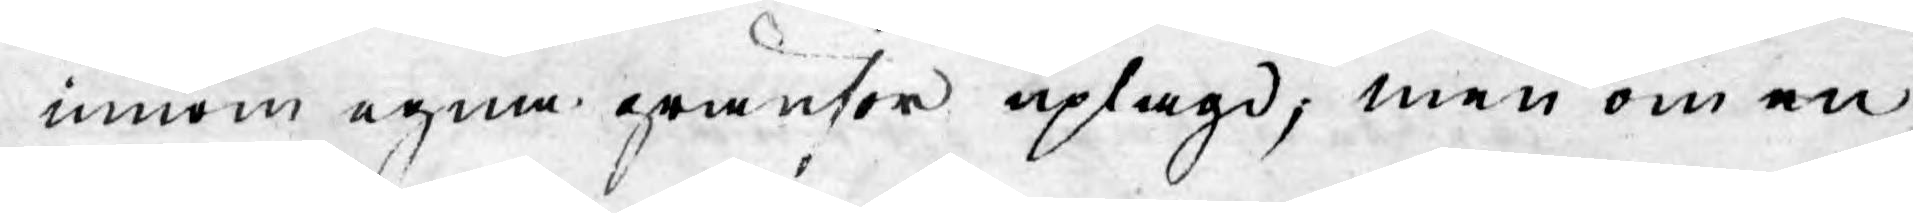inom egna gränser uplagd; men om en
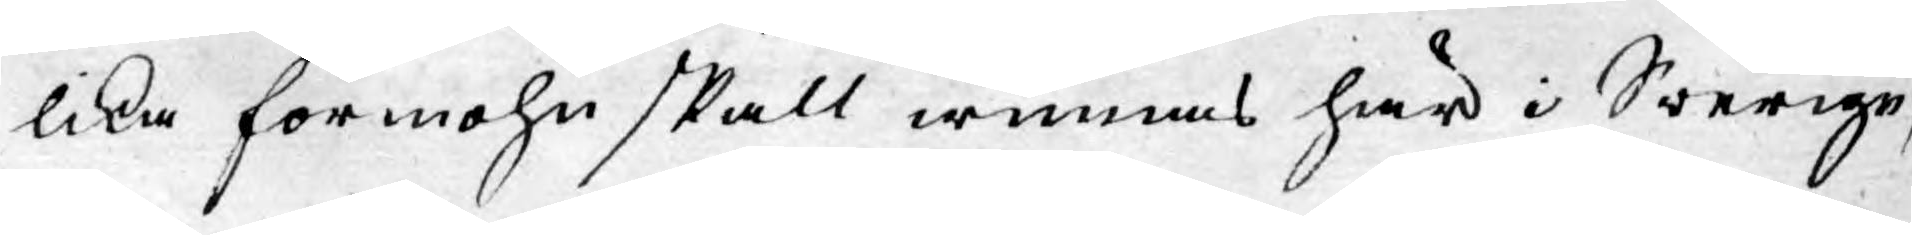lika förmohn skall winnas här i Swerige,
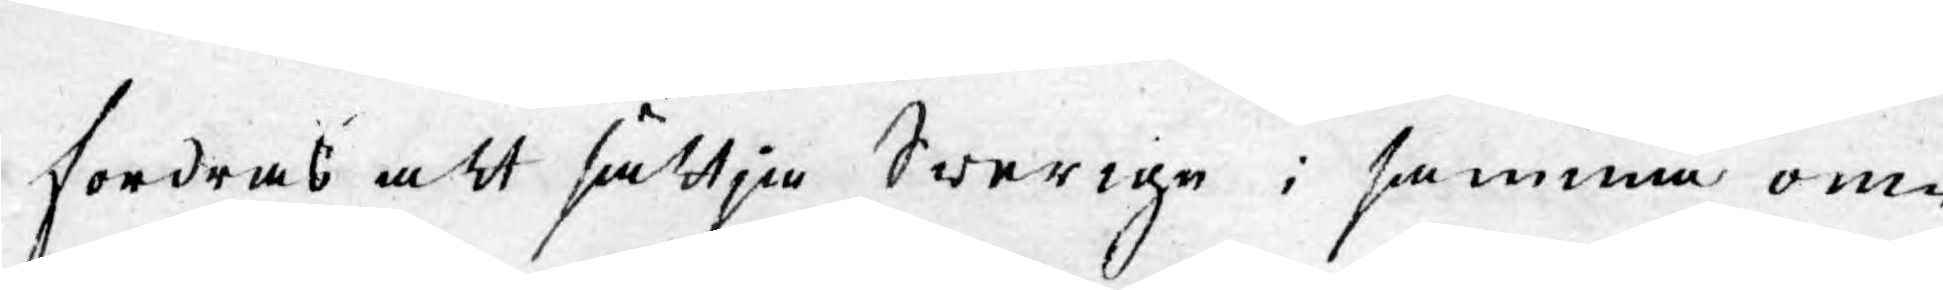fordras att sättia Swerige i samma om¬
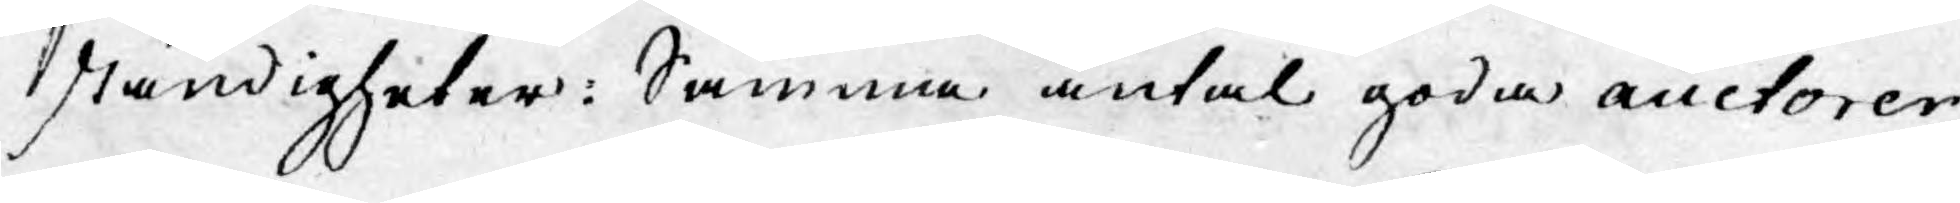ständigheter: Samma antal goda auctorer,
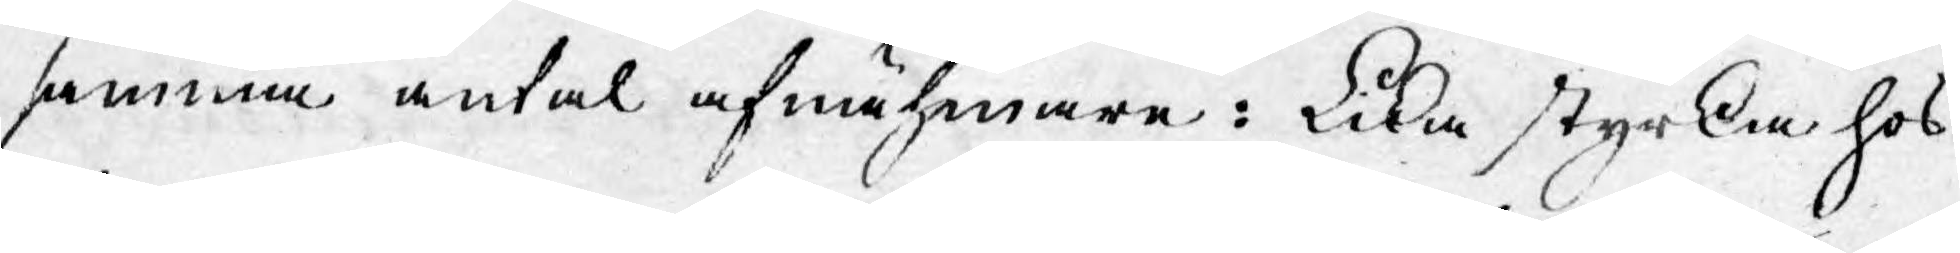samma antal afnähmare: Lika styrka hos
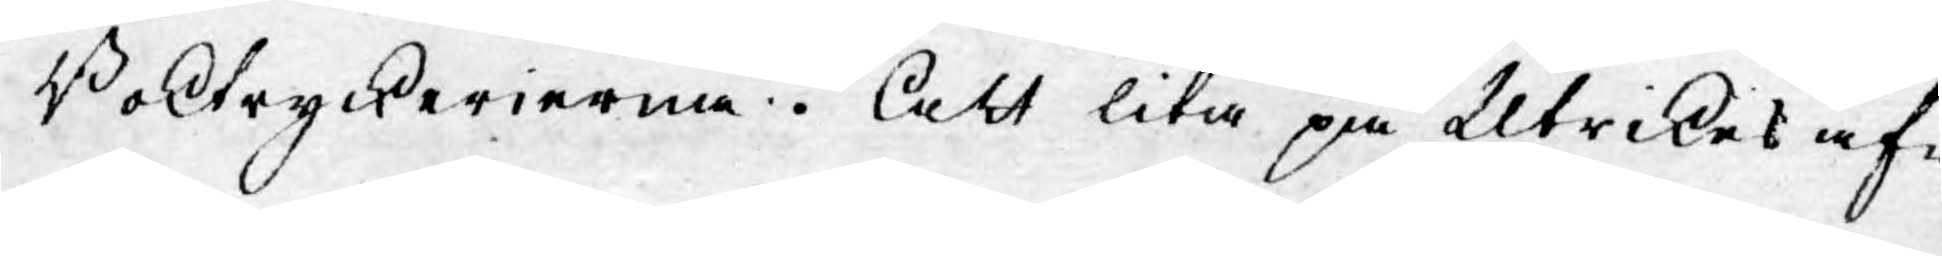Boktryckerierna. Att lita på Utrikes af¬
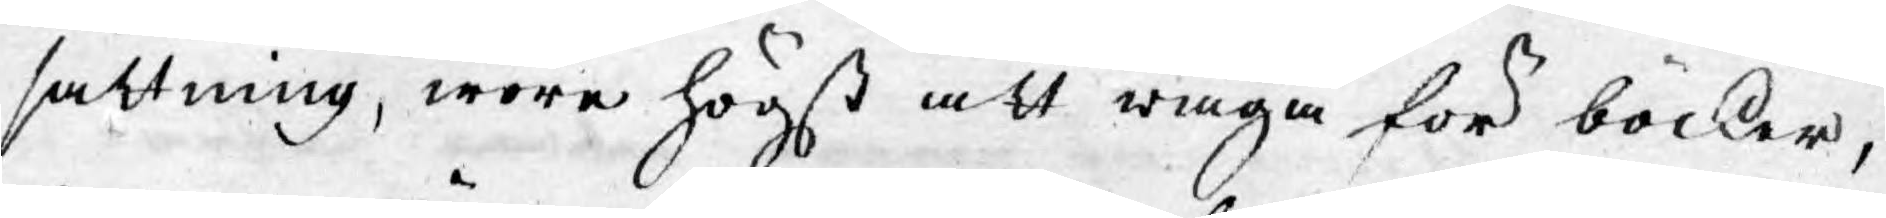sättning, wore högst att wäga för böcker,
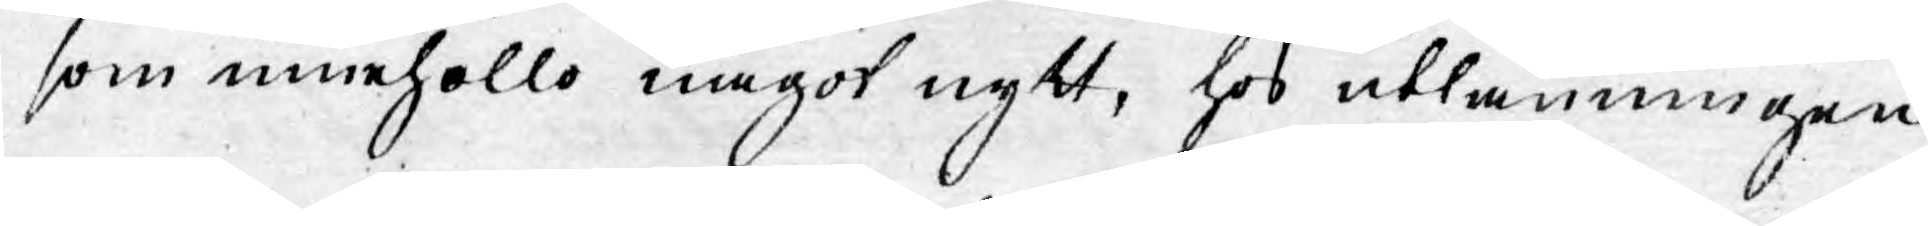som innehöllo något nytt, hos utlänningen
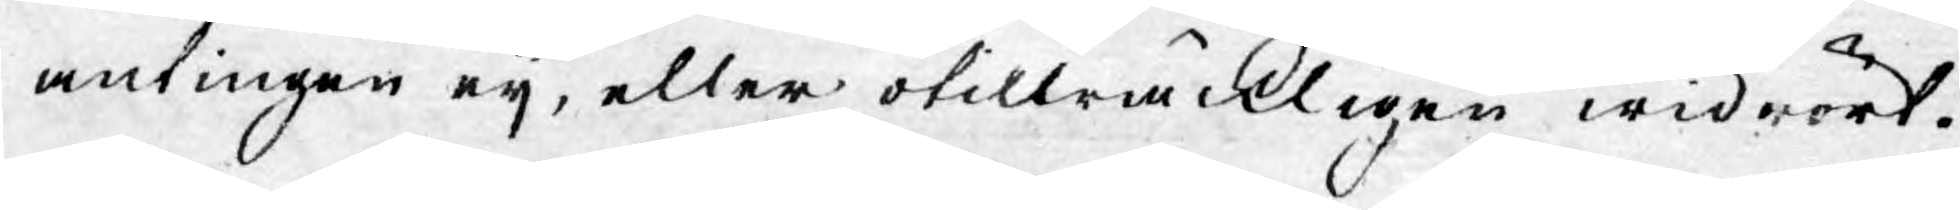antingen eij, eller otillräckligen widrört.
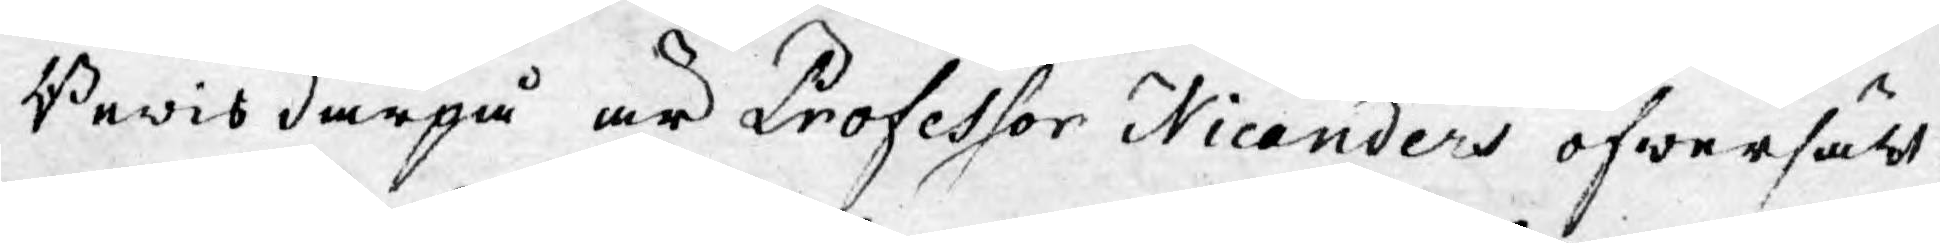Bewis därpå är Professor Nicanders öfwersätt¬
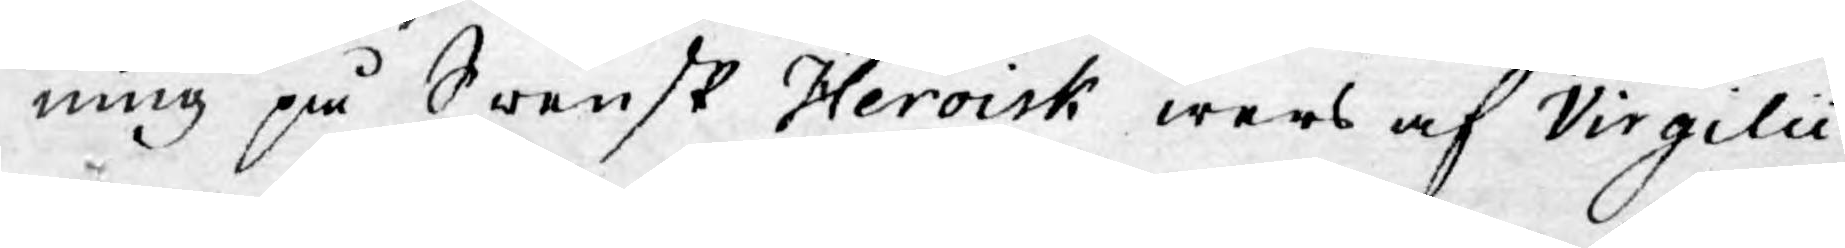ning på Swensk Heroisk wers af Virgilii
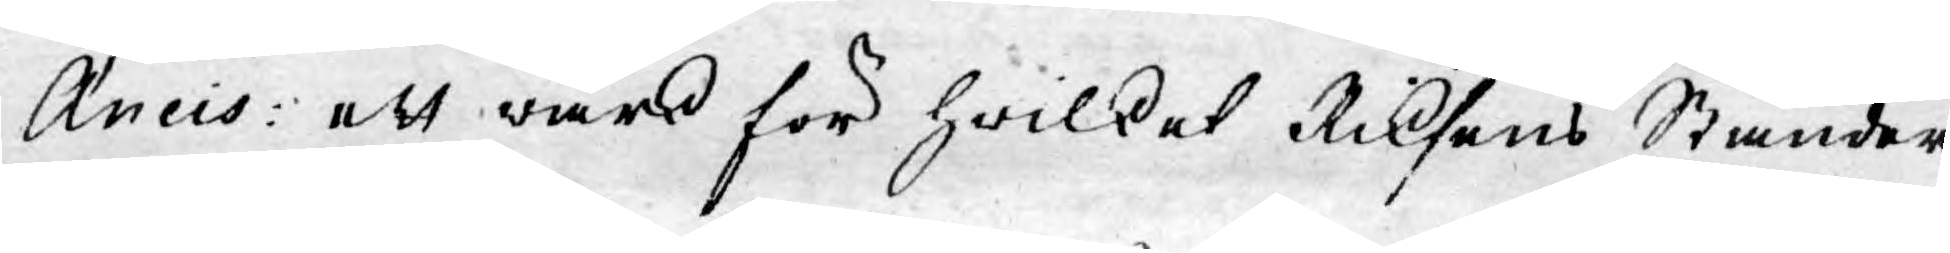Æneis: ett wärk för hwilket Riksens Ständer
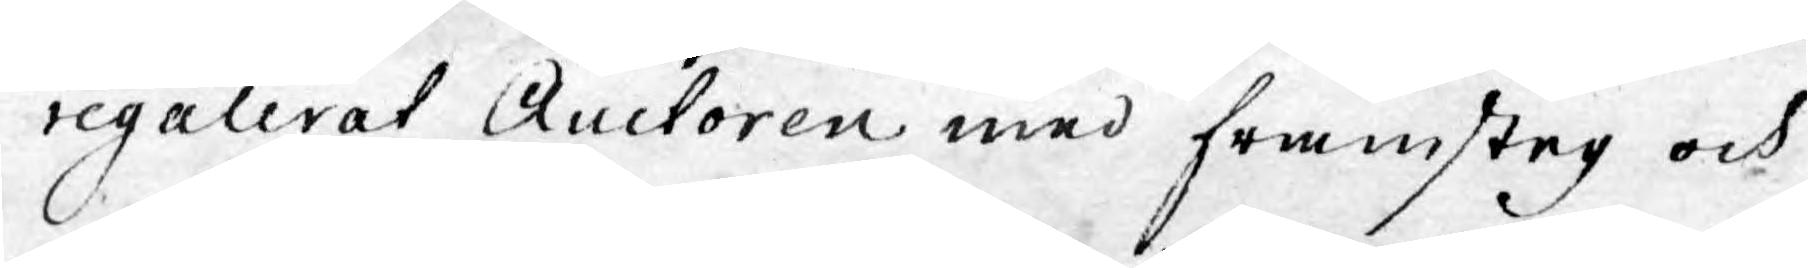regulerat Auctoren med framsteg och
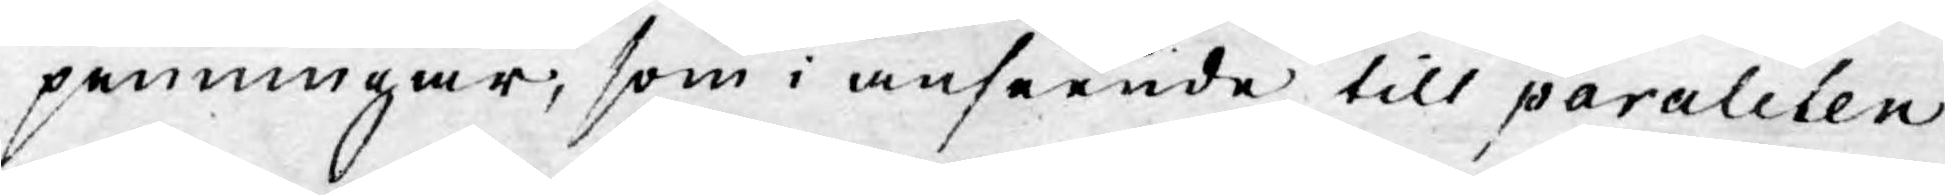penningar, som i anseende till paralelen
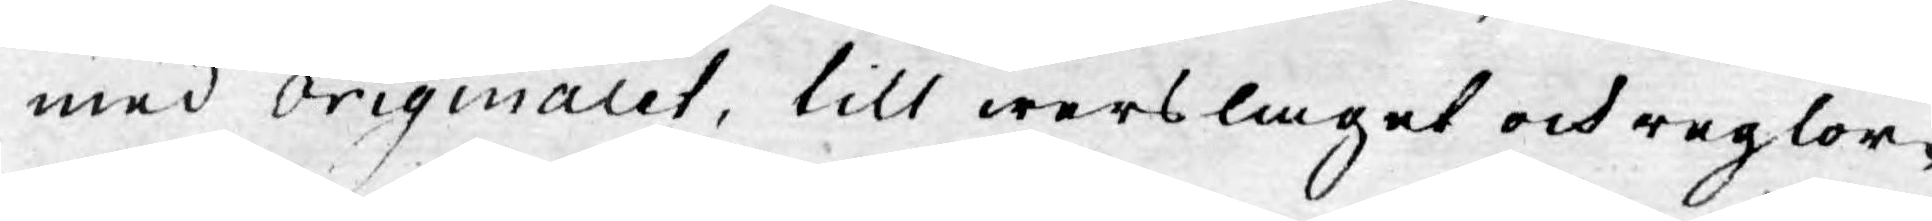med Originalet, till werslaget och reglor¬
